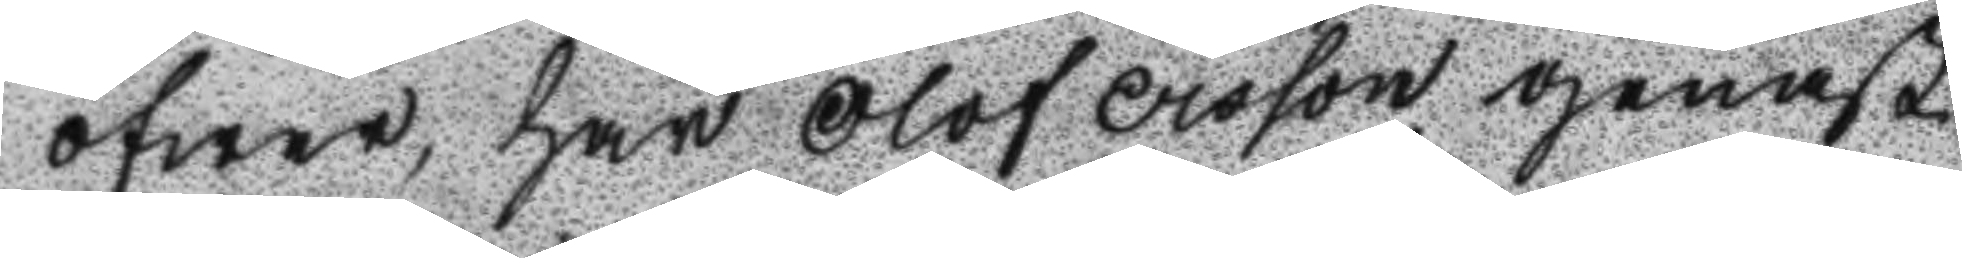öfwer, har Olof Ersson genast
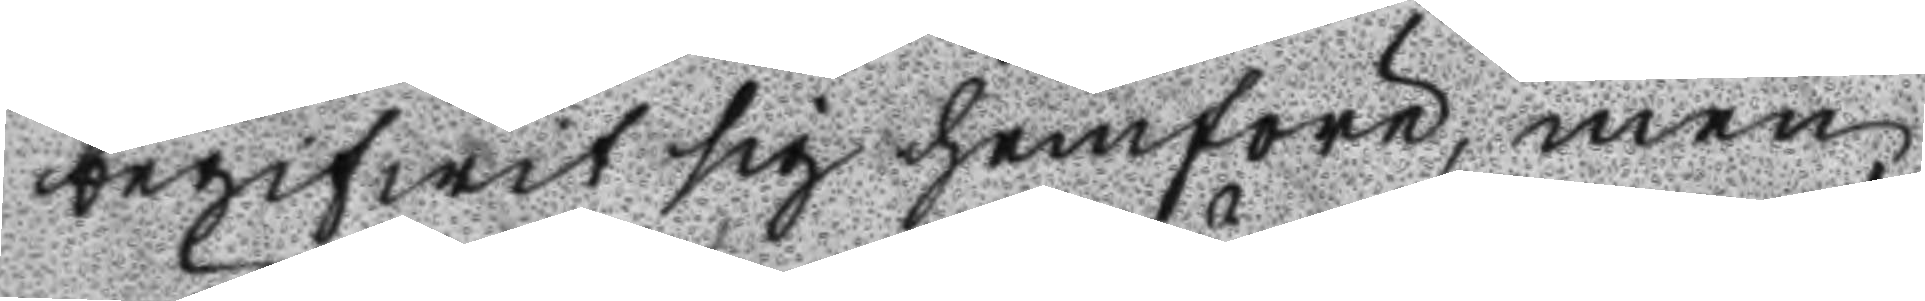begifwit sig hemföre, men
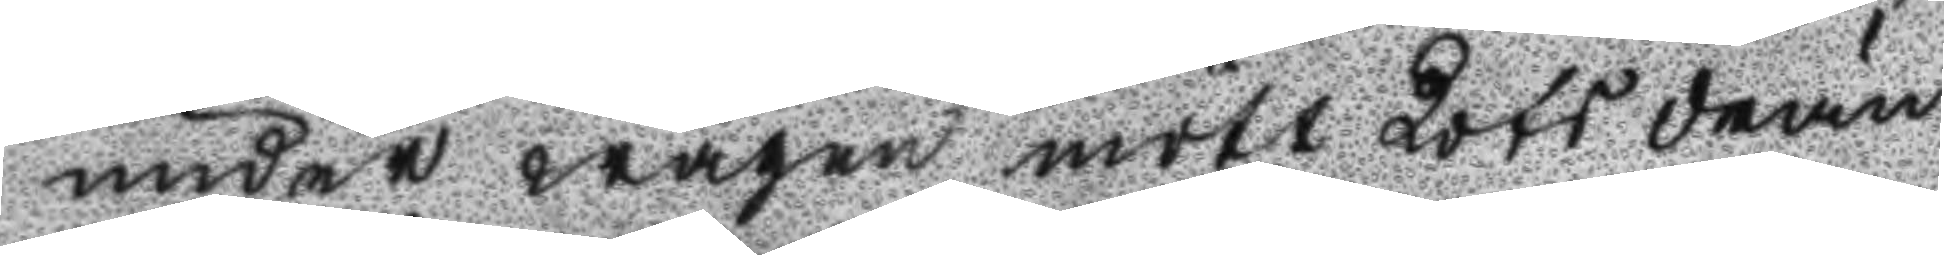under wägen mött Lots drän
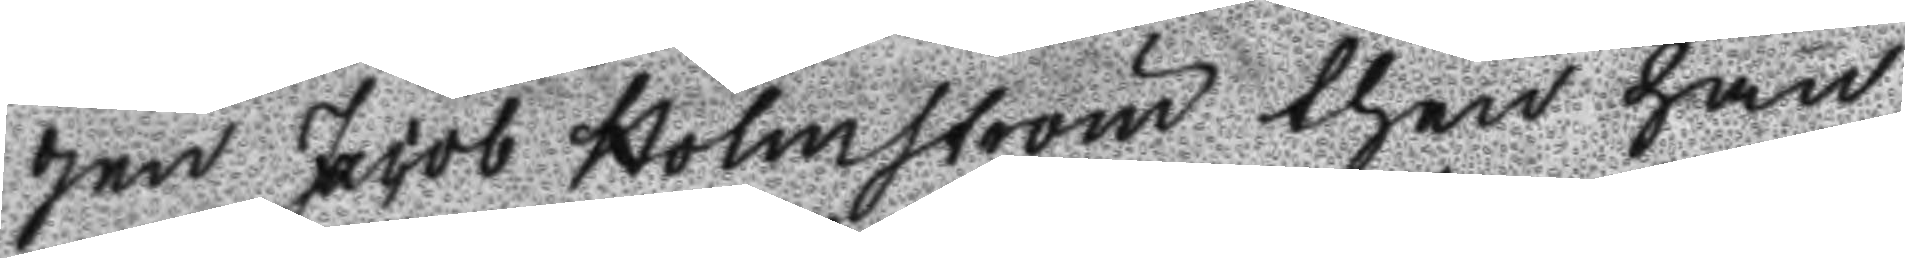gen Jacob Holmström then han
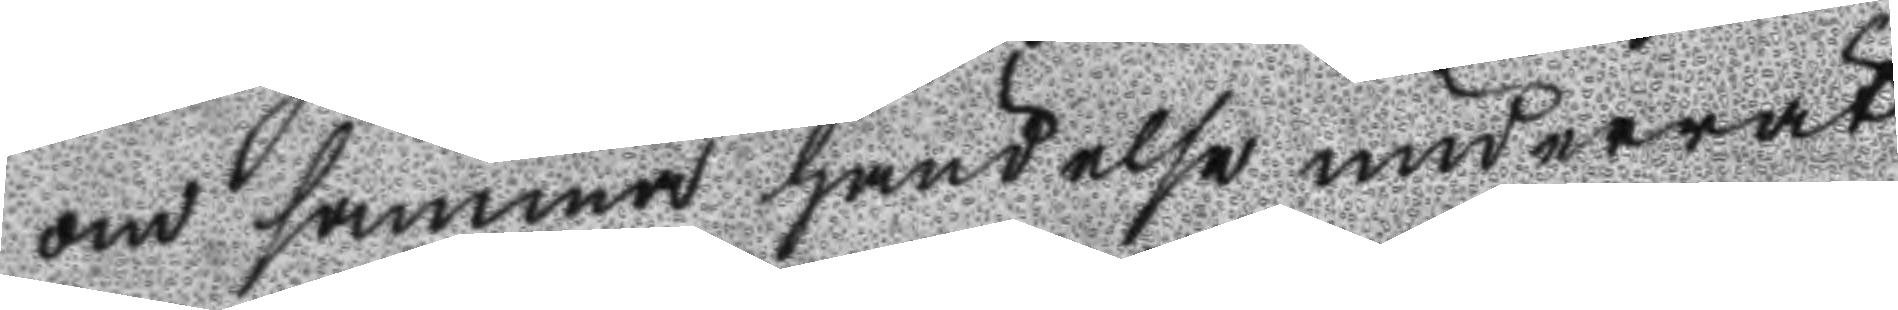om samma händelse underrät
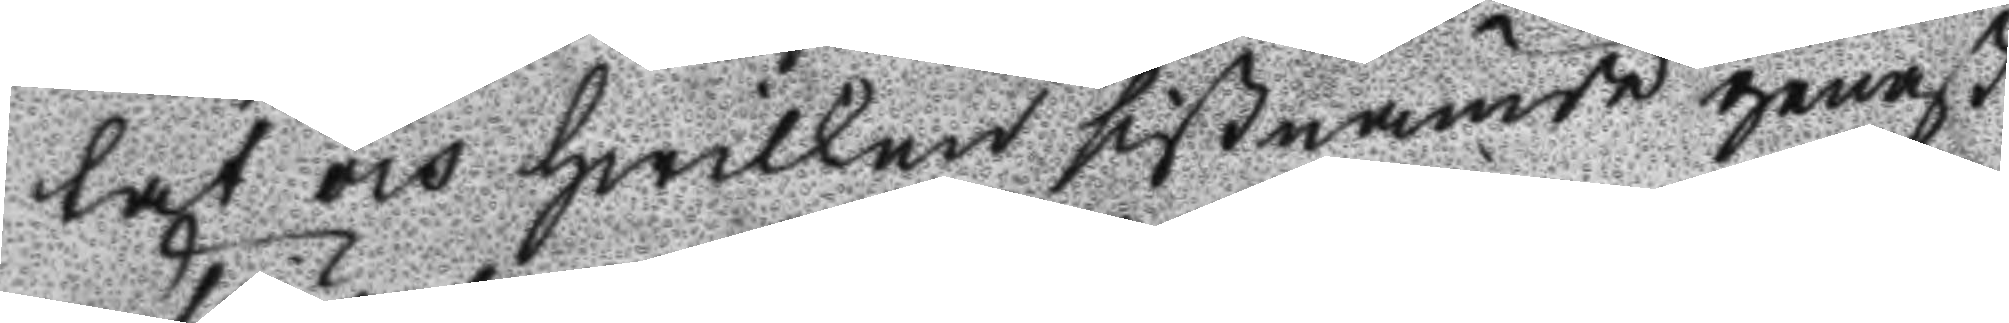tat och hwilken sistnämde genast
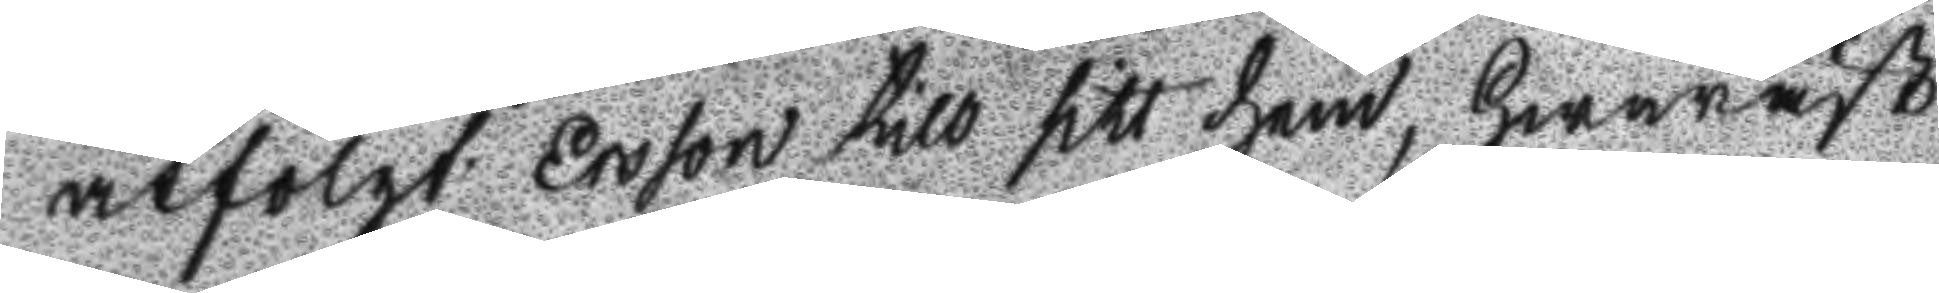åtfölgt ersson till sitt hem, hwaräst
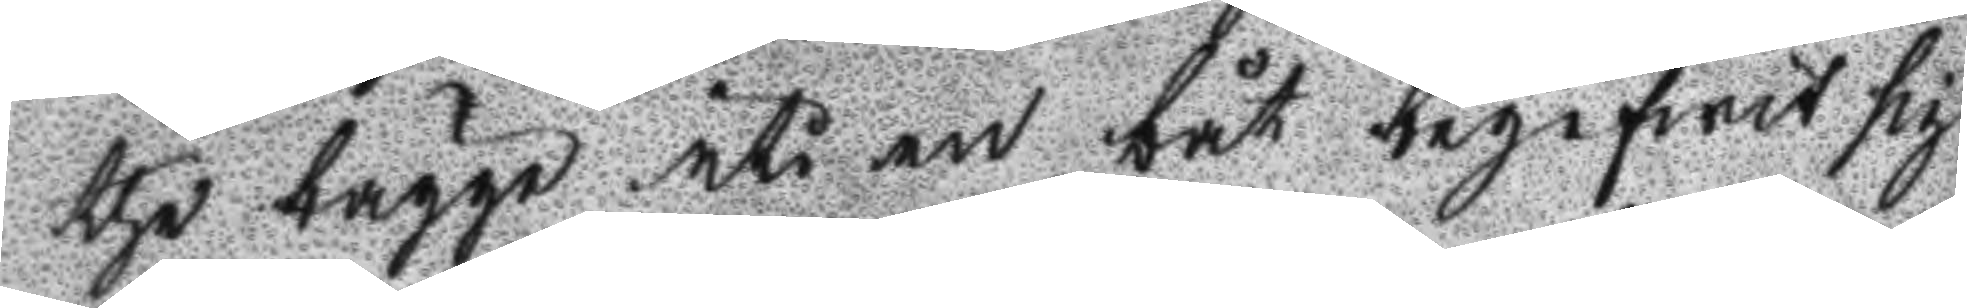the bägge uti en båt begifwit sig
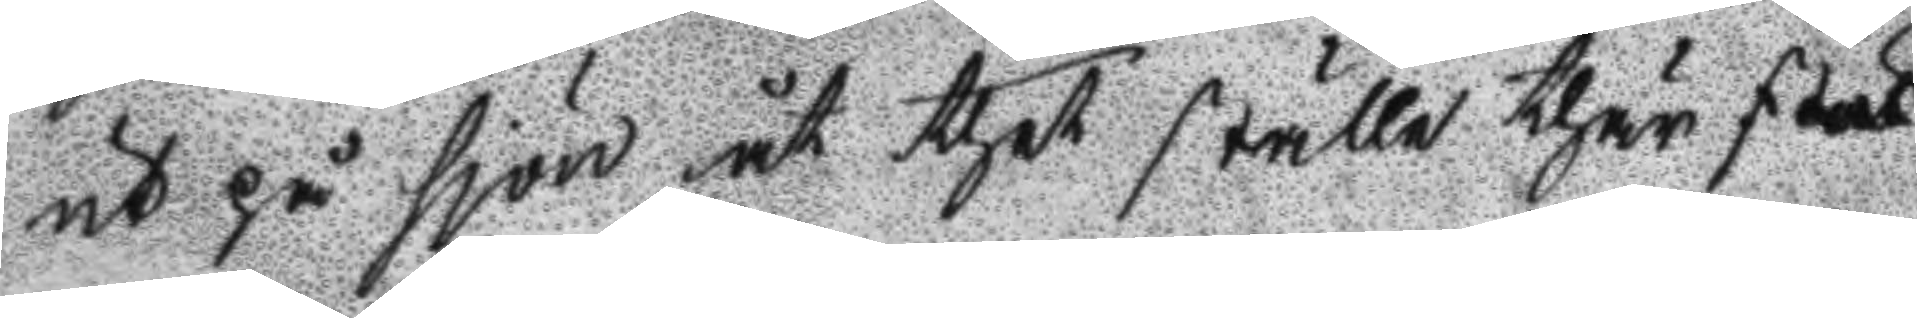ut på sjön åt thet ställe thär städ
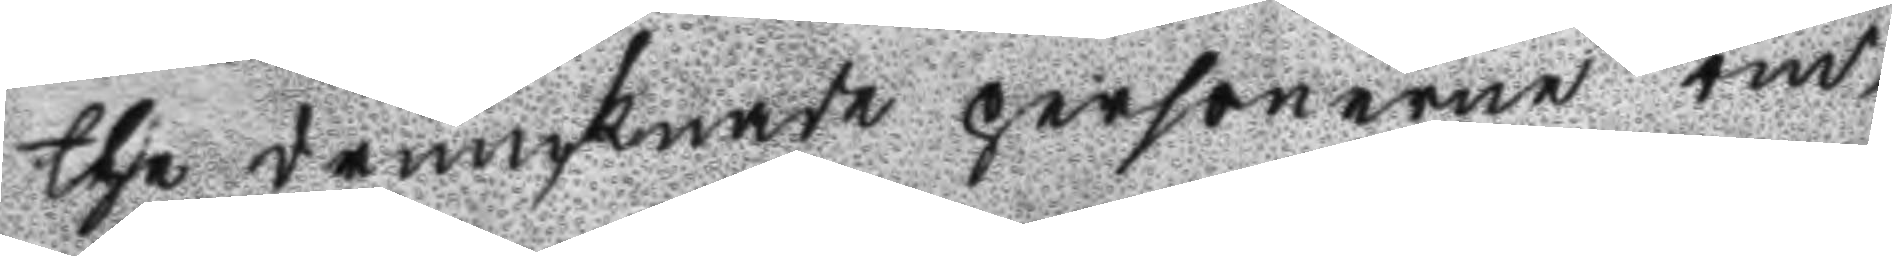the drunknade personerne om¬
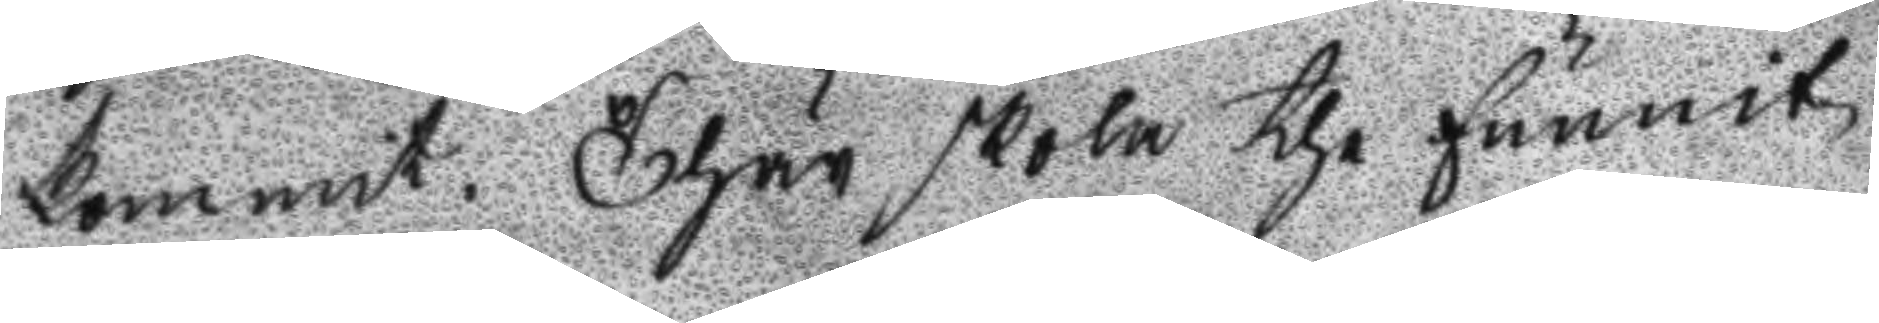kommit. Thär skola the funnit
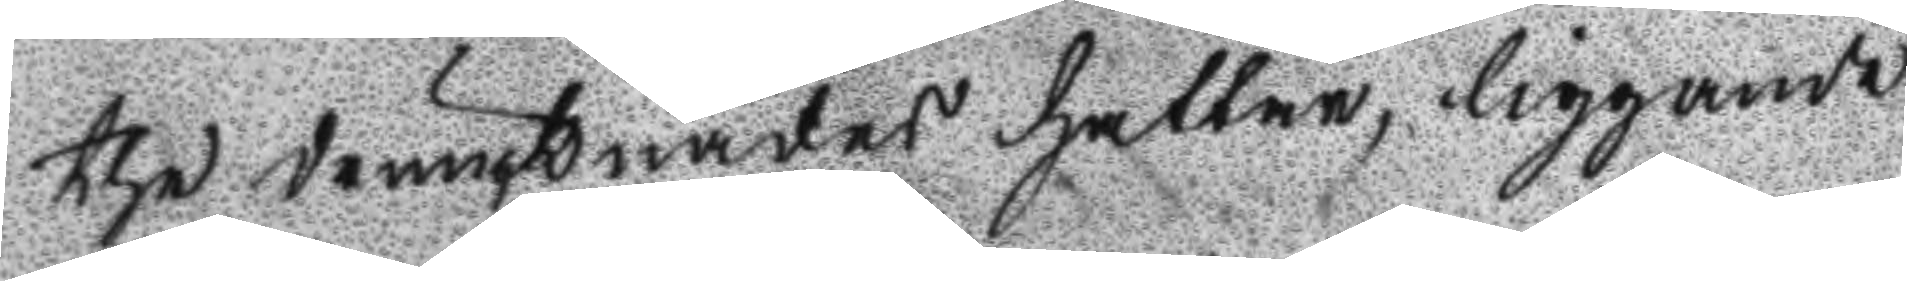the drunknades hattar, liggande
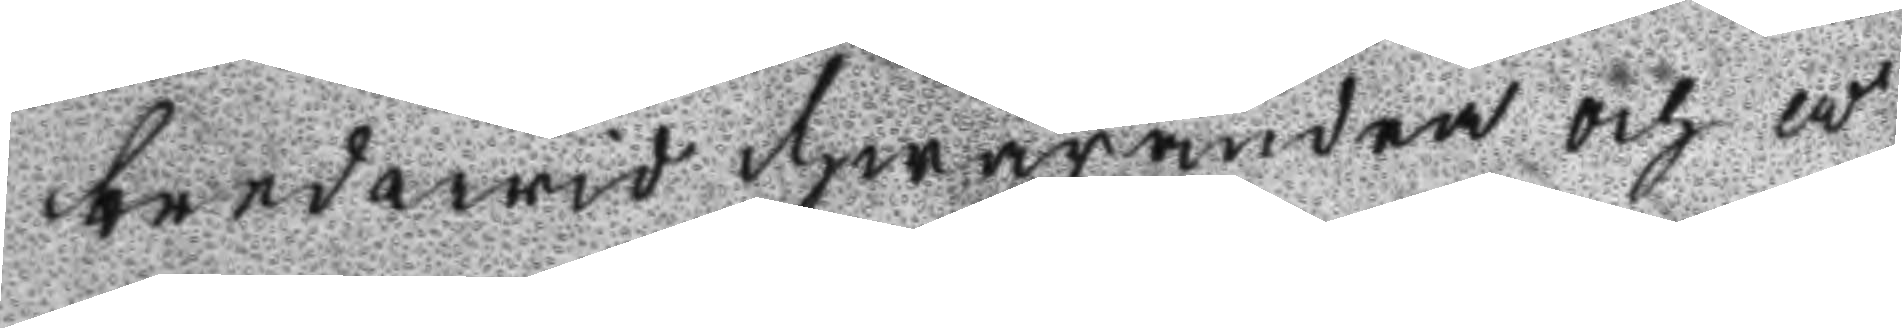bredwid hwarandra och å
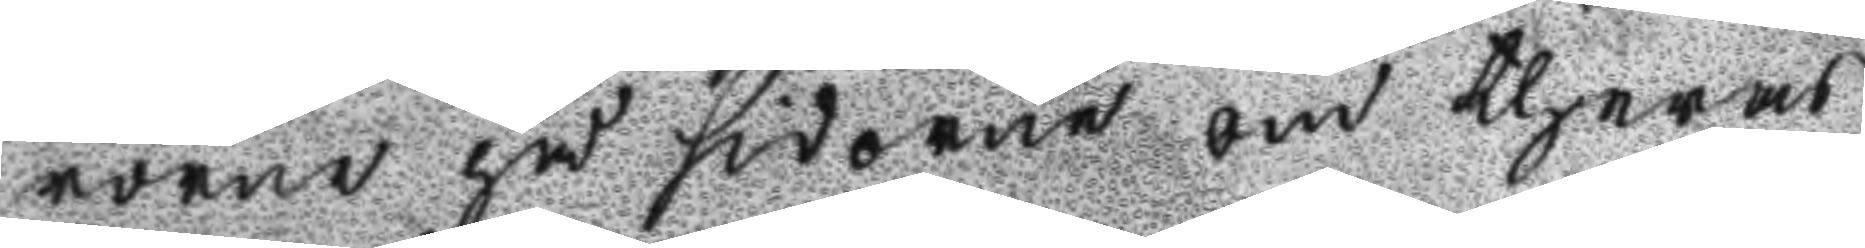rorne på sidorne om theras
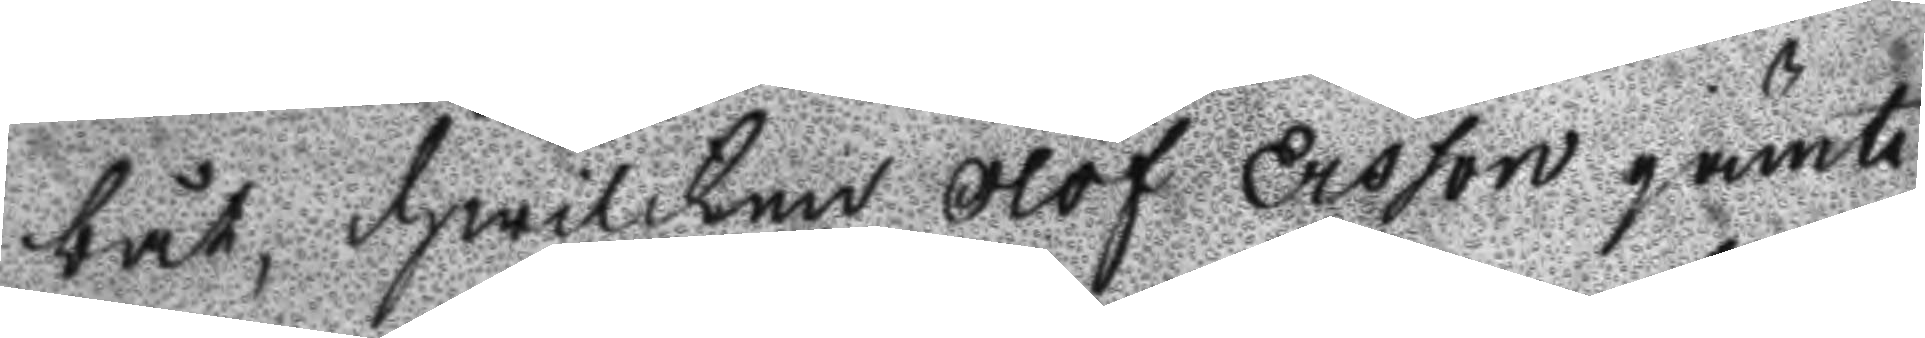båt, hwilken Olof Ersson jämte
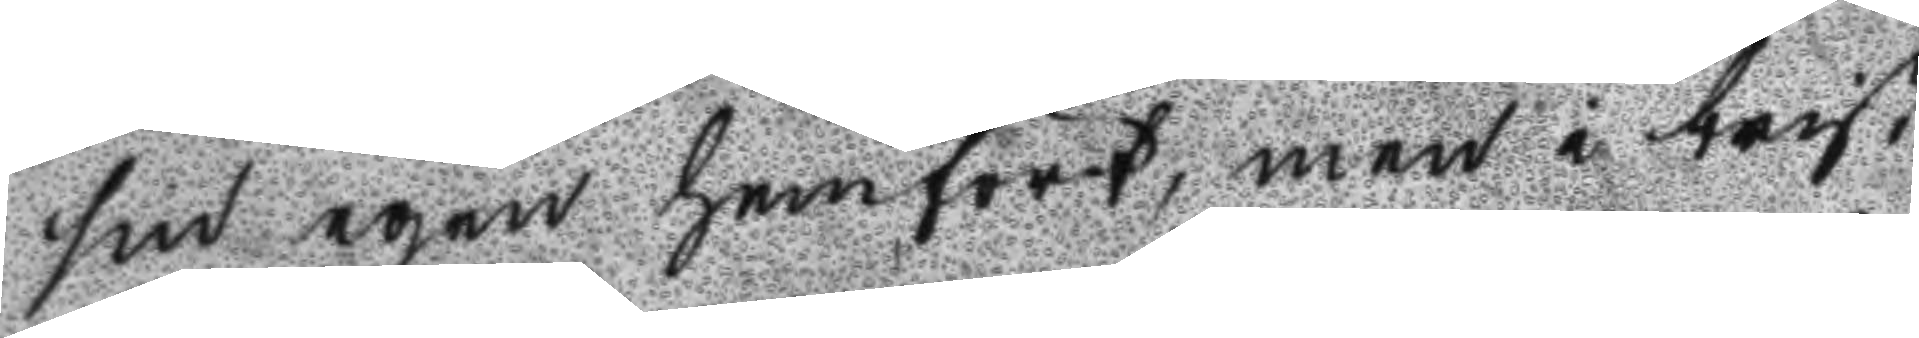sin egen hemfört, men i brist
